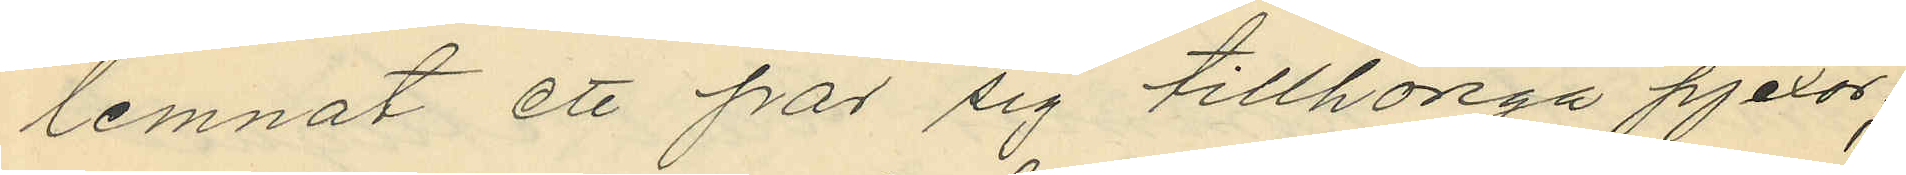lemnat ett par sig tillhöriga pjexor;
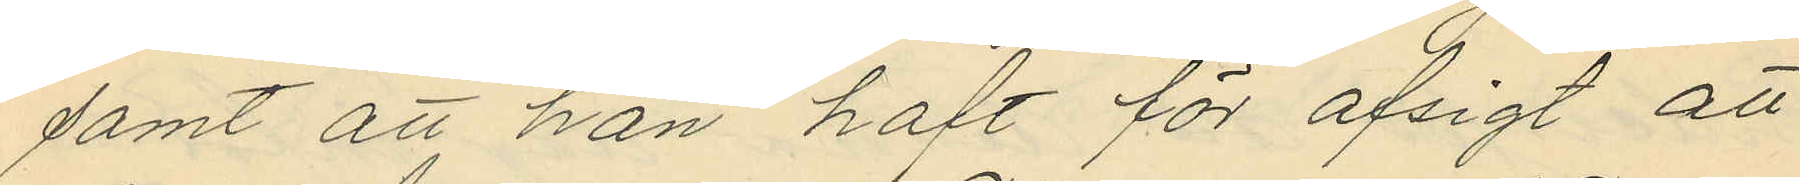samt att han haft för afsigt att
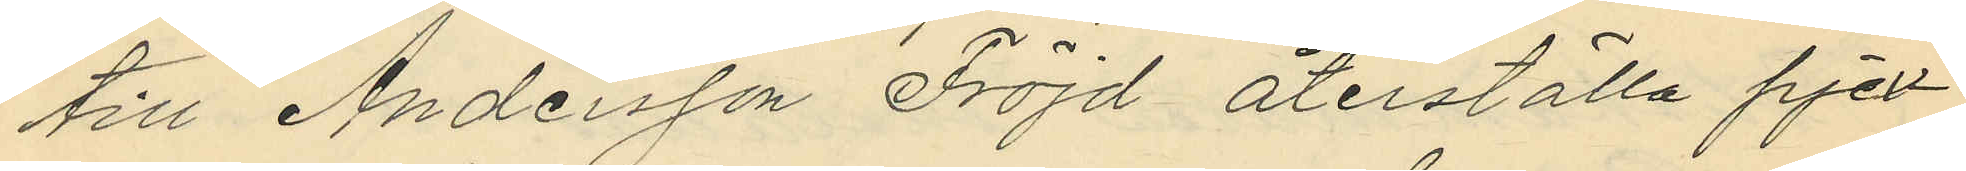till Andersson Fröjd återställa pjex¬
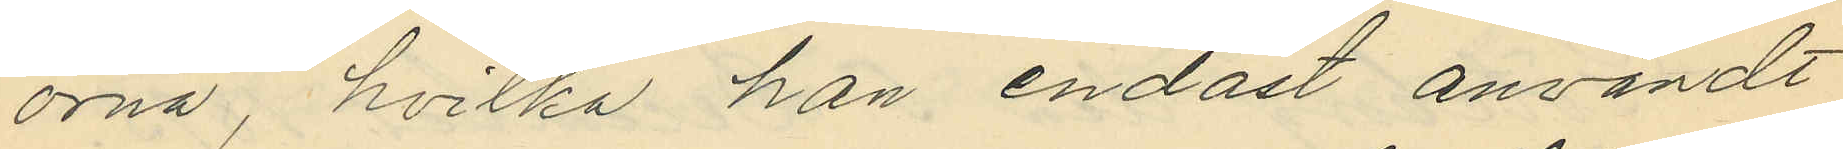orna, hvilka han endast användt
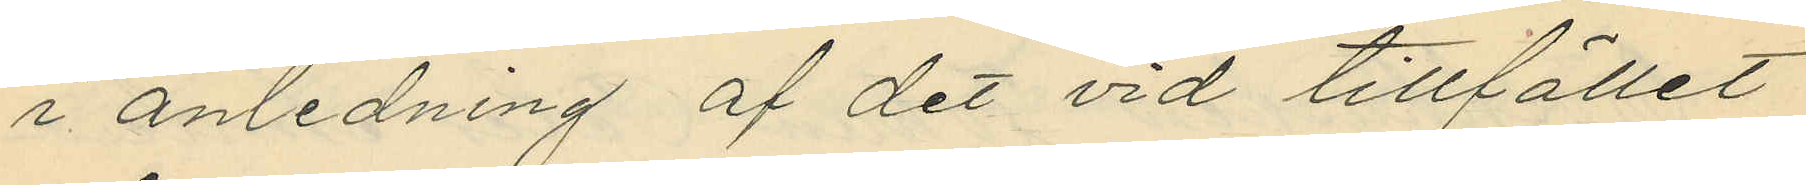i anledning af det vid tillfället
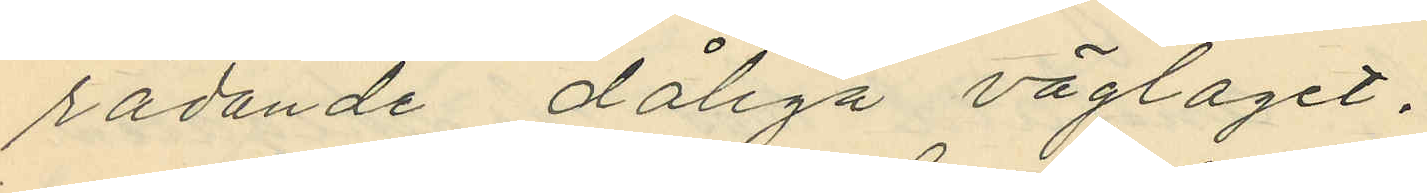rådande dåliga väglaget.
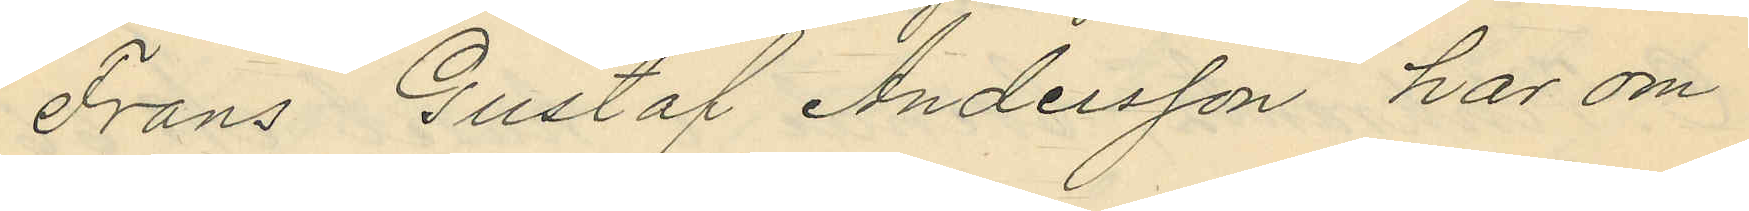Frans Gustaf Andersson hos om
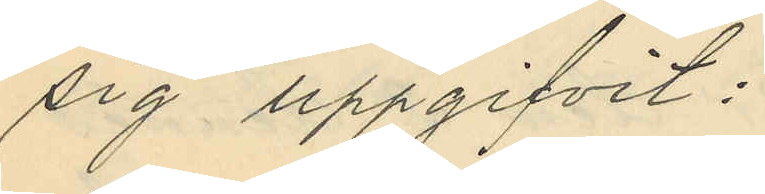sig uppgifvit:
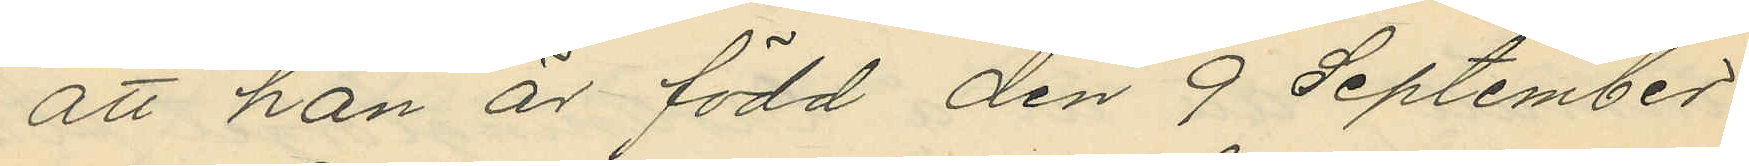att han är född den 9 September
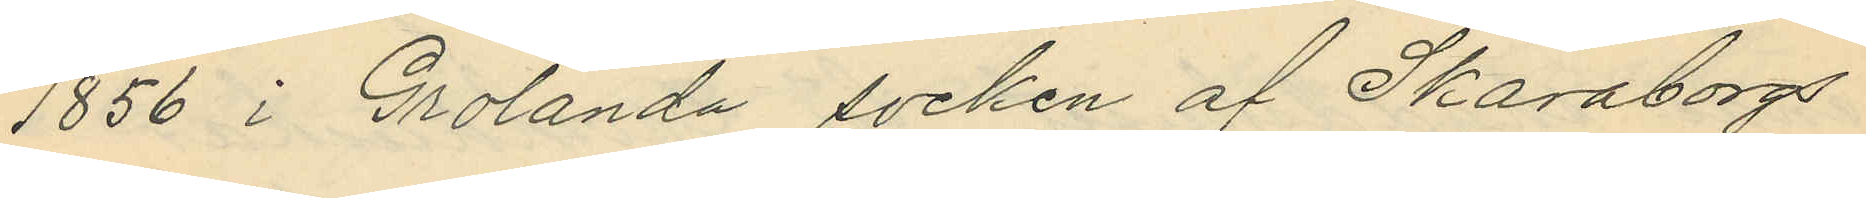1856 i Grolanda socken af Skaraborgs
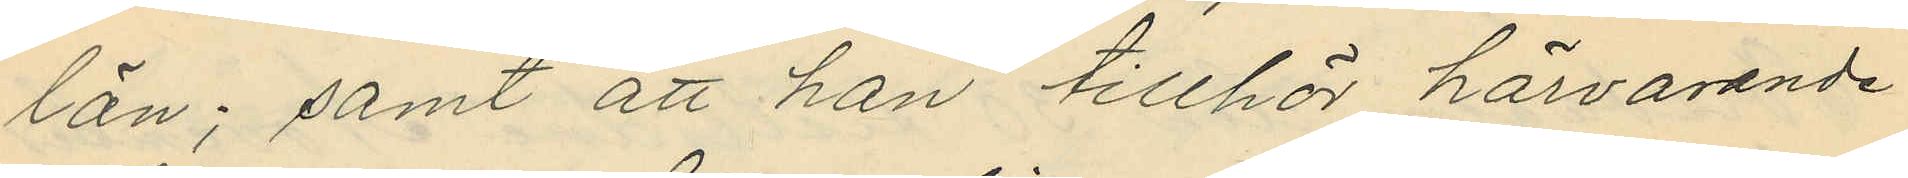län; samt att han tillhör härvarande
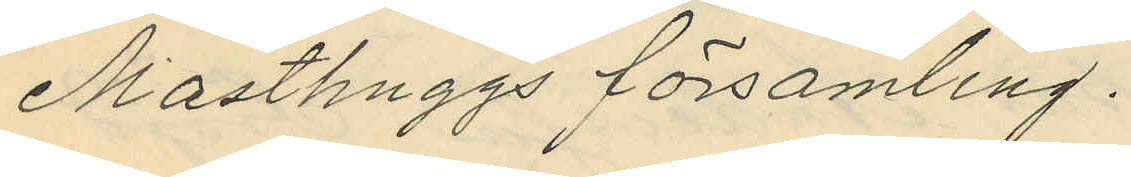Masthuggs församling.
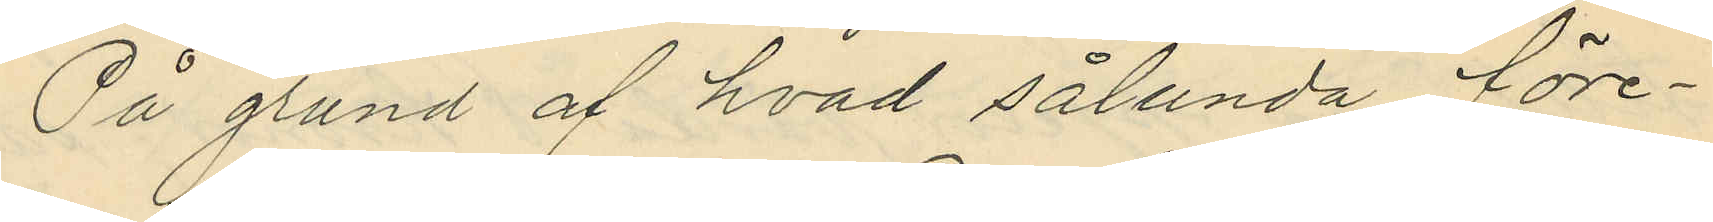På grund af hvad sålunda före¬
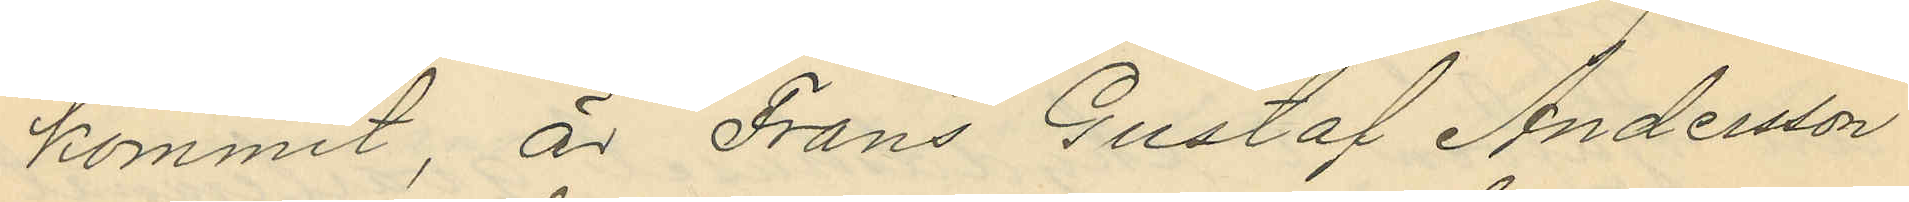kommit, är Frans Gustaf Andersson
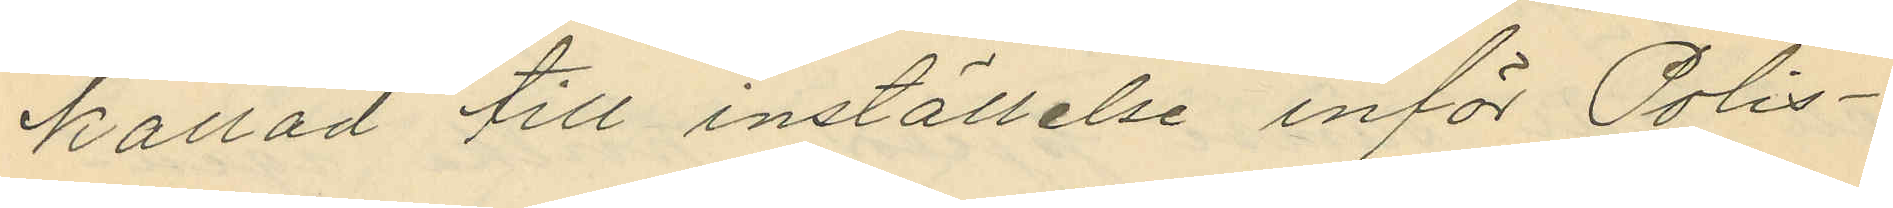kallad till inställelse inför Polis¬
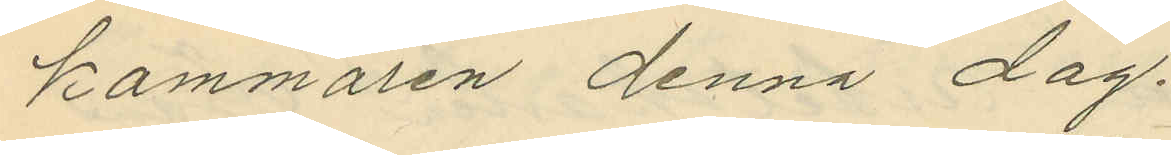kammaren denna dag.
